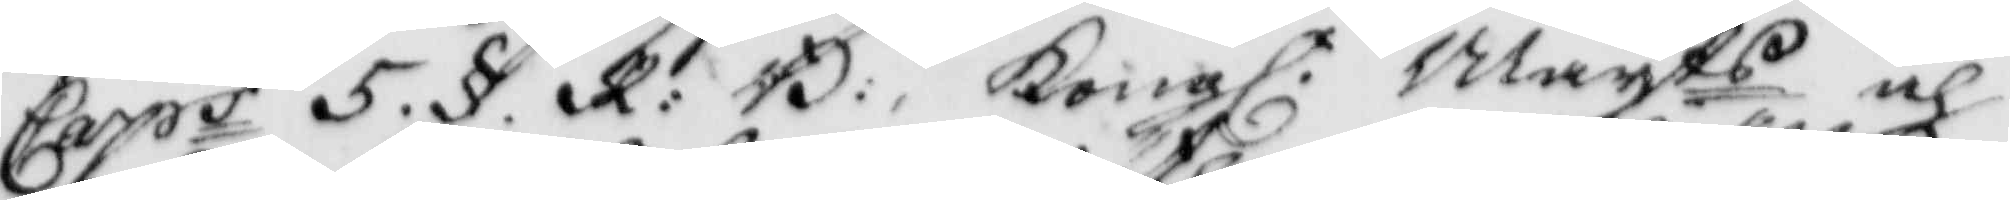Caps 5. §. R: B: Kongl. Mayts och
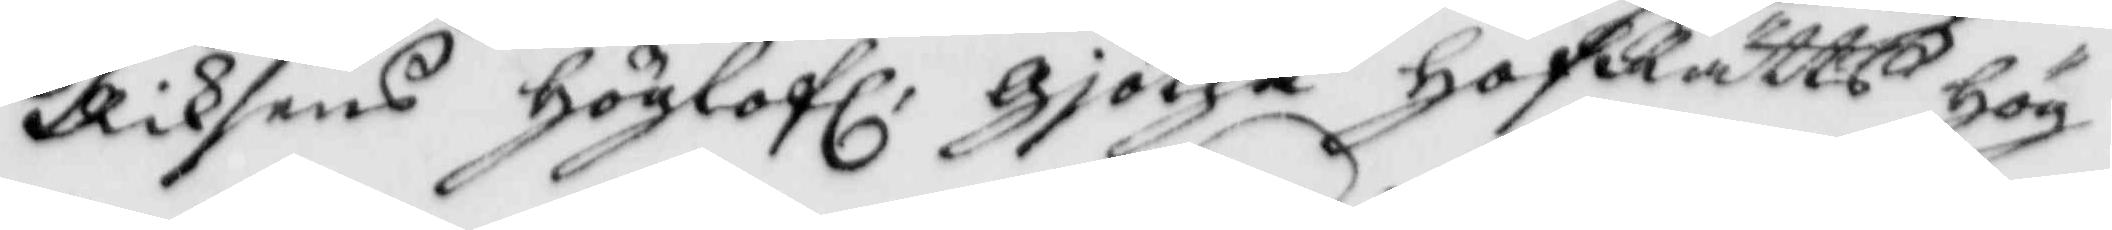Riksens höglofl: Gjötha HofRätts hög¬
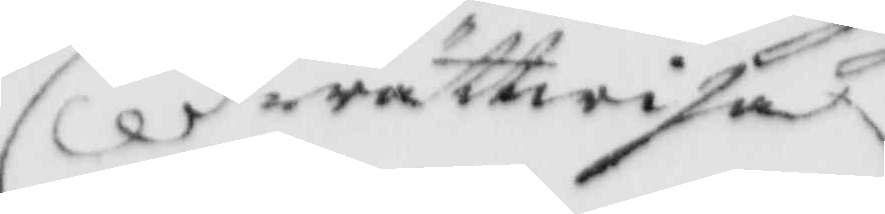rättwisa
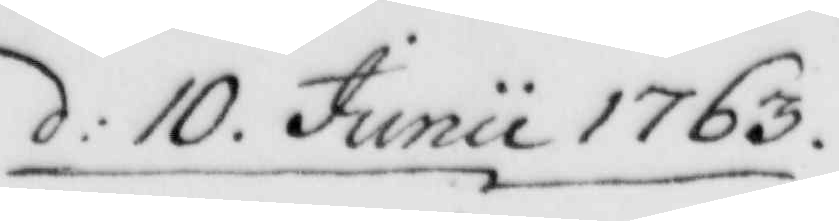d: 10. Junii 1763.
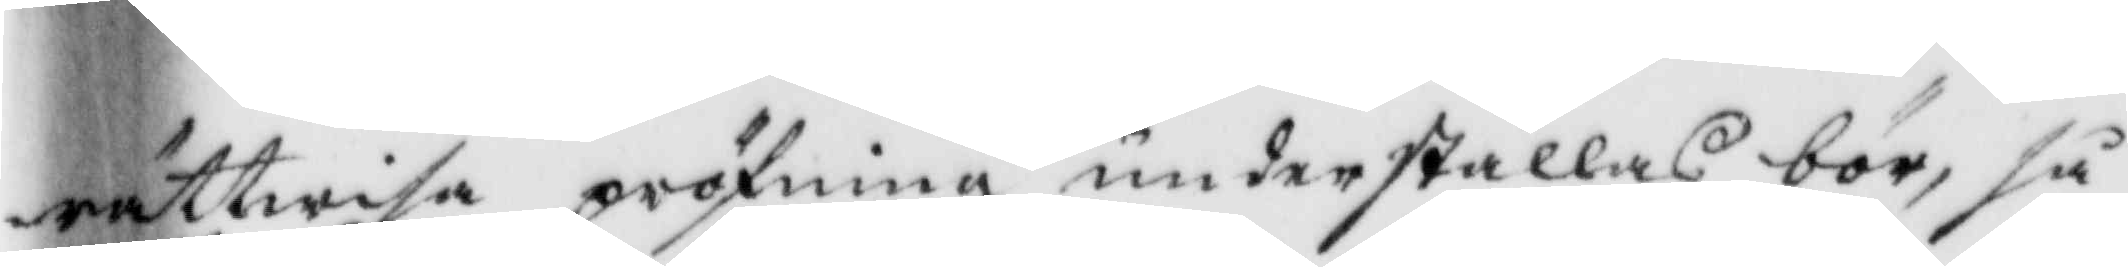rättwisa pröfning underställas bör, så
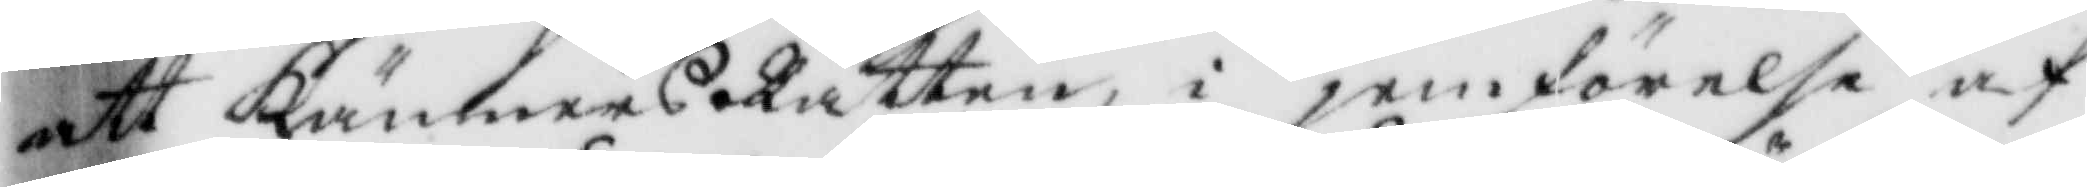att KämnersRätten, i jemförelse af
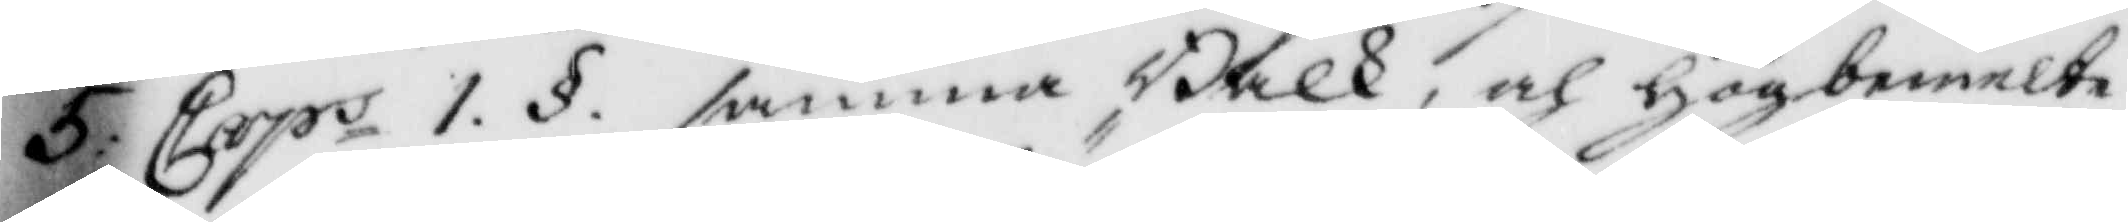5: Caps 1. §. samma Balk, och högbemelt
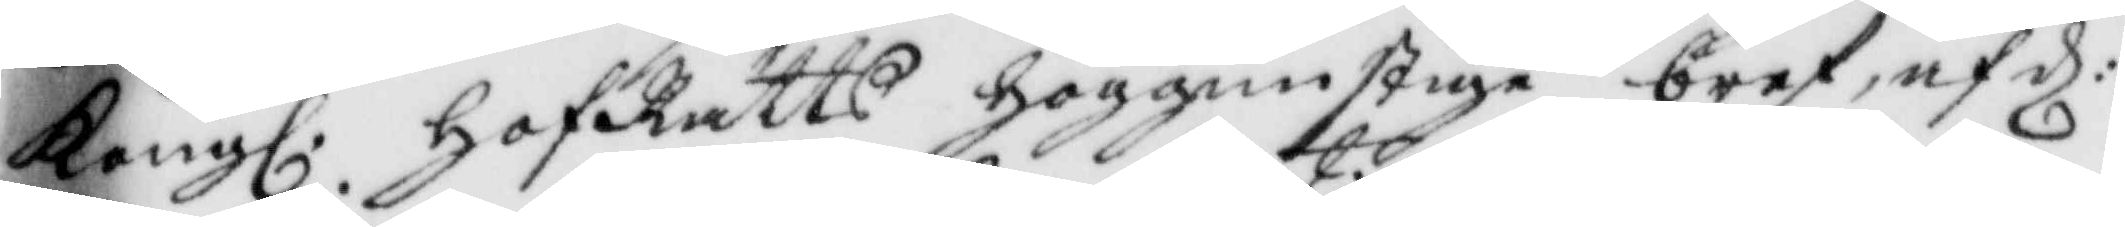Kongl. HofRätts höggunstige bref, af d:
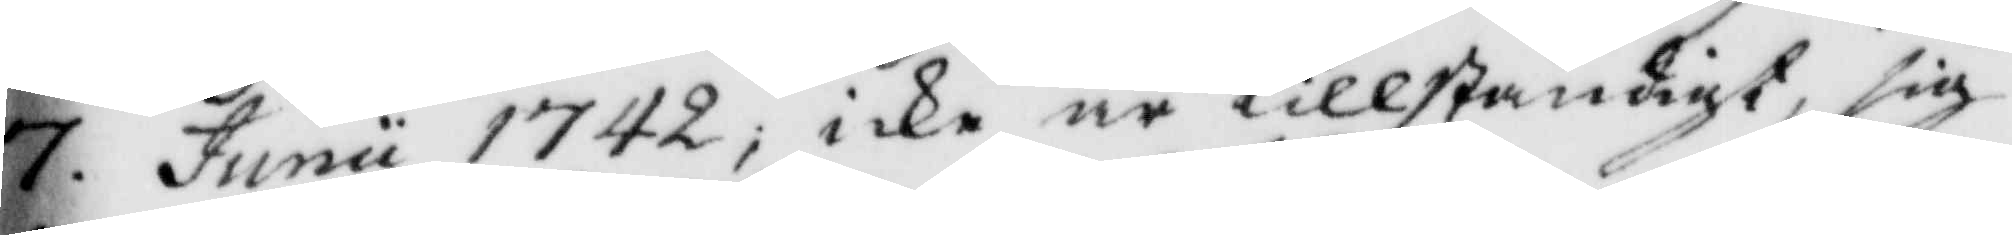7. Junii 1742; icke är tillständigt, sig
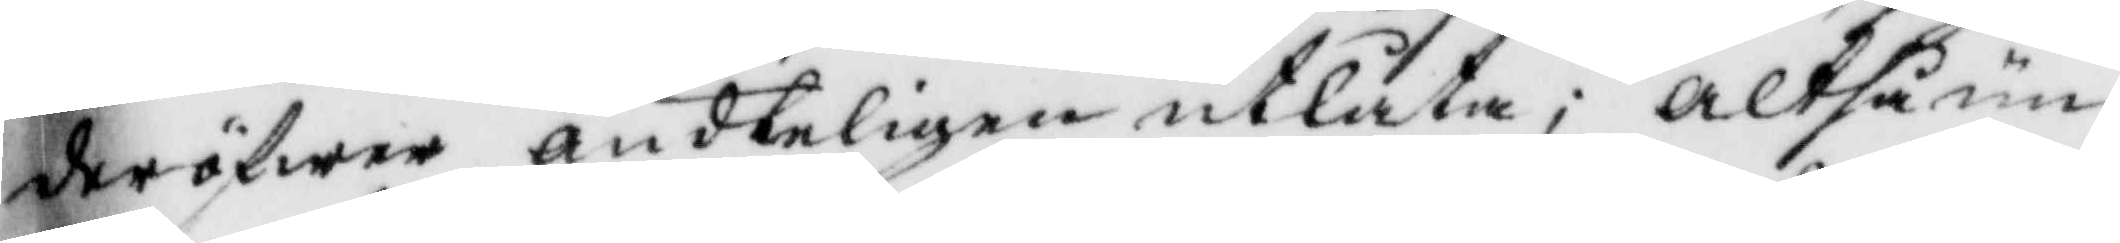deröfwer ändteligen utlåta; altså un¬
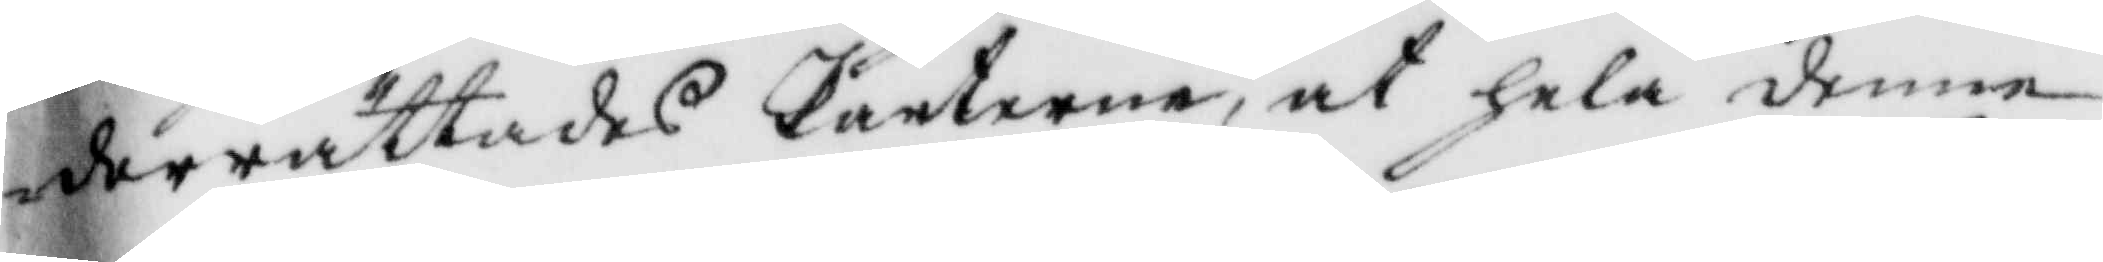derrättades Parterne, at hela denne
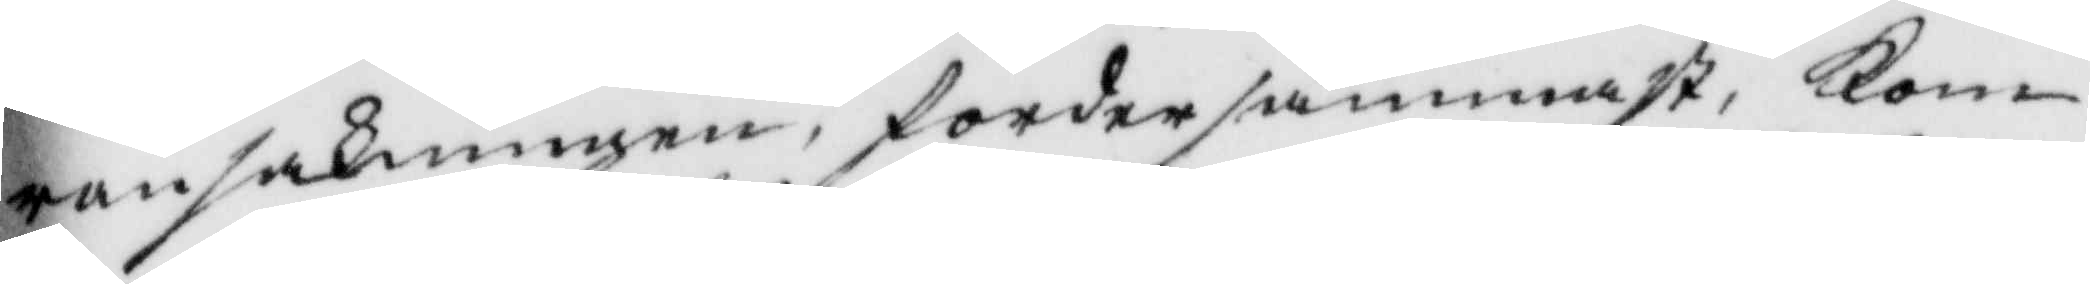ransakningen, fordersammast Kom¬
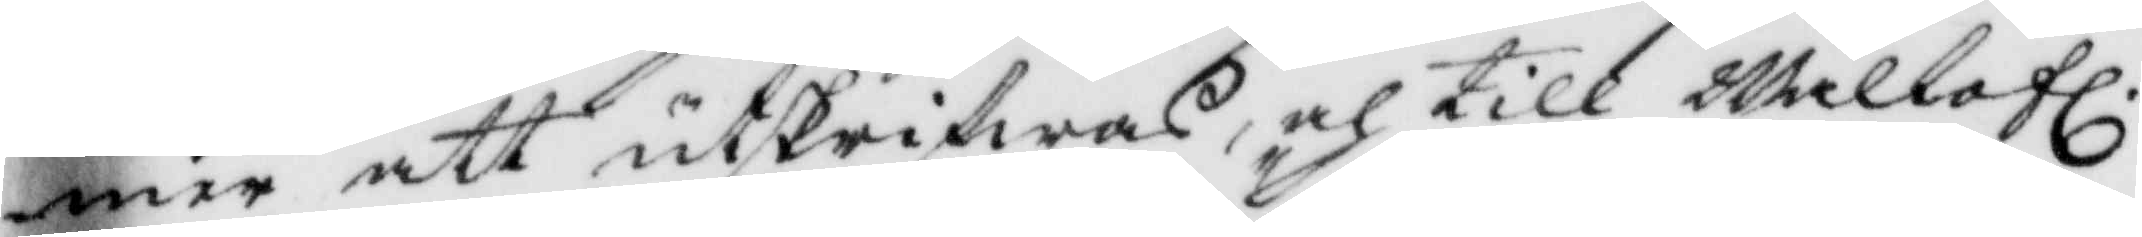mer att utskrifwas, och till Wällofl.
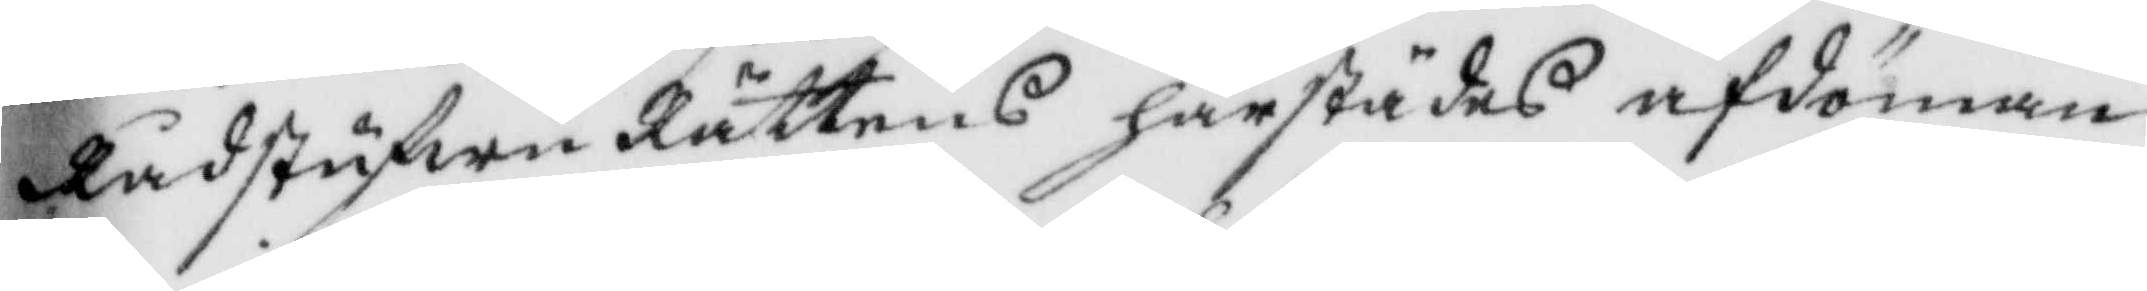RådstufwuRättens härstädes afdöman¬
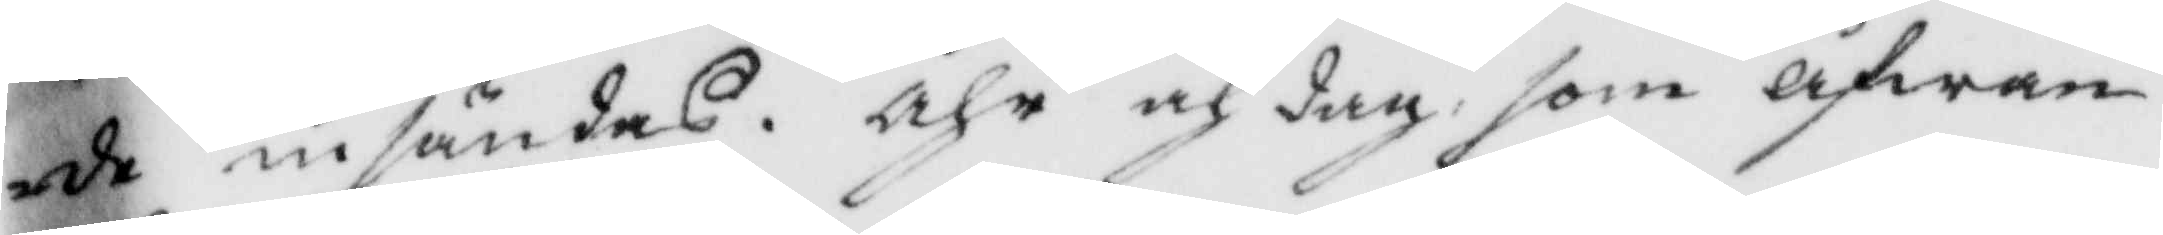de insändas, åhr och dag som åfwan¬
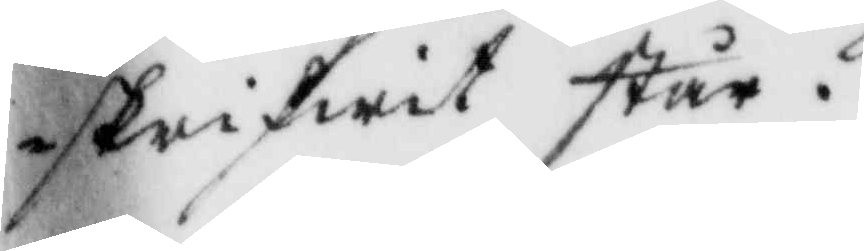skrifwit står.
